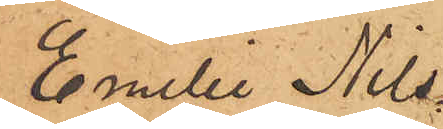Emilie Nils¬
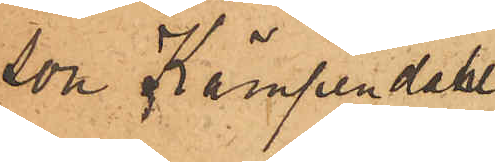son Kämpendahl
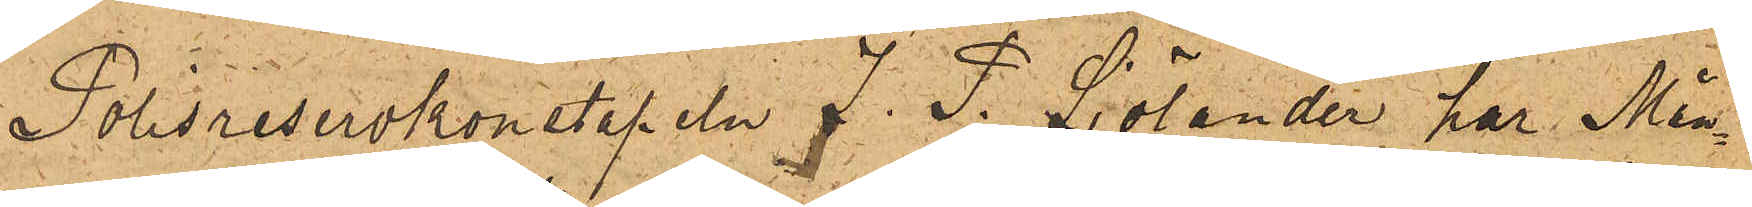Polisreservkonstapeln J. P. Sjölander har Mån¬
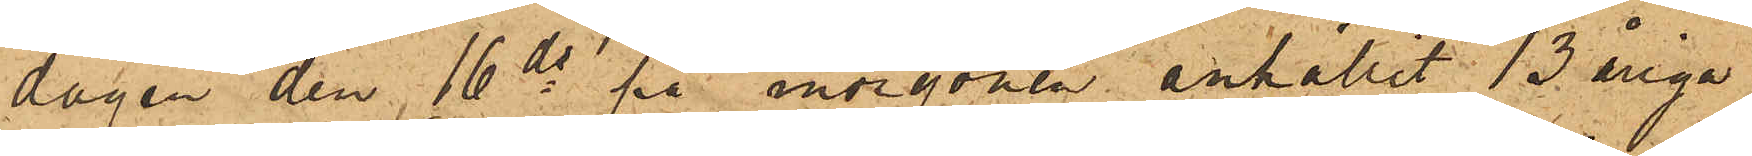dagen den 16 ds på morgonen anhållit 13 åriga
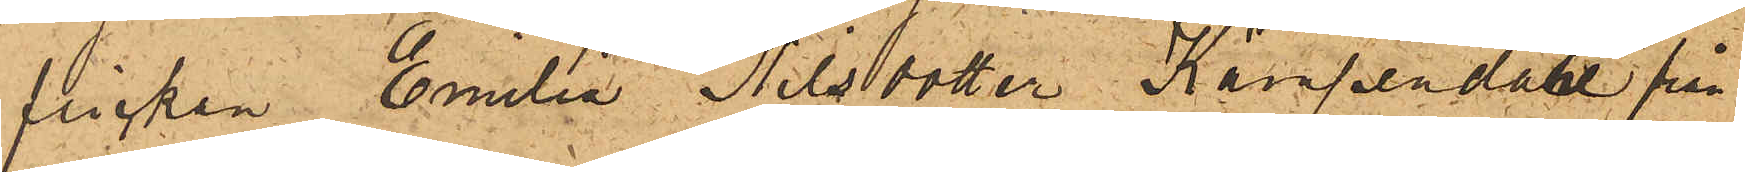flickan Emilia Nilsdotter Kämpendahl från
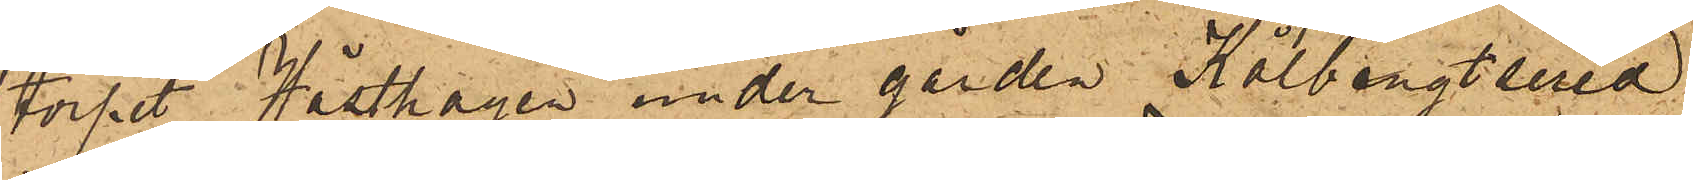torpet Hästhagen under gården Kolbengtsered
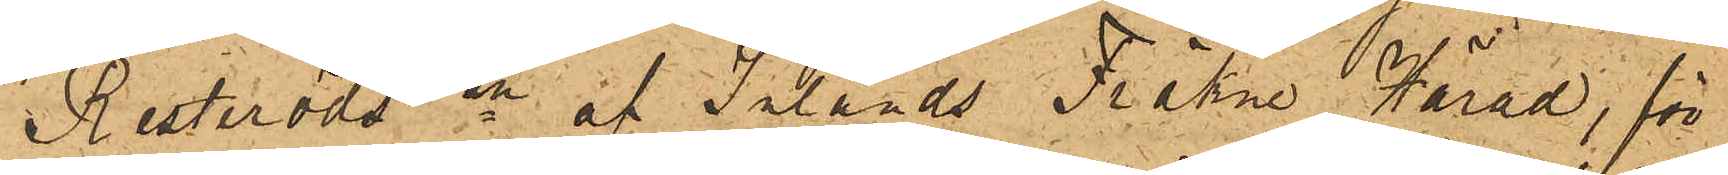i Resteröds sn af Inlands FräkneHärad, för
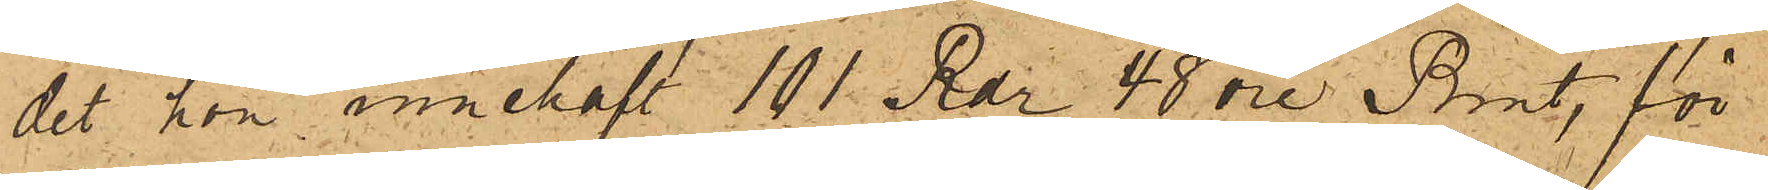det hon innehaft 101 Rdr 48 öre Rmt, för
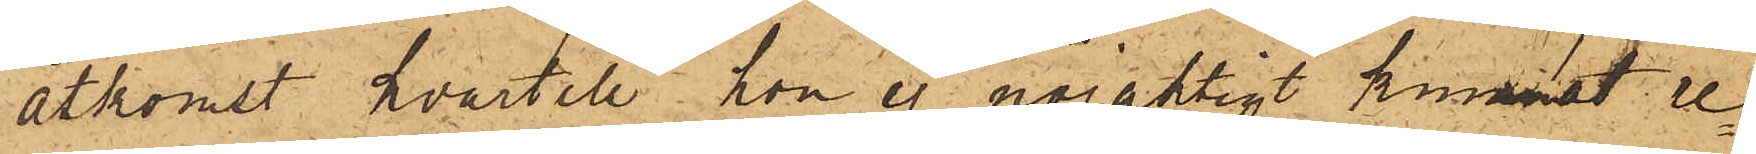åtkomst hvartill hon ej nöjaktigt kunnat re¬
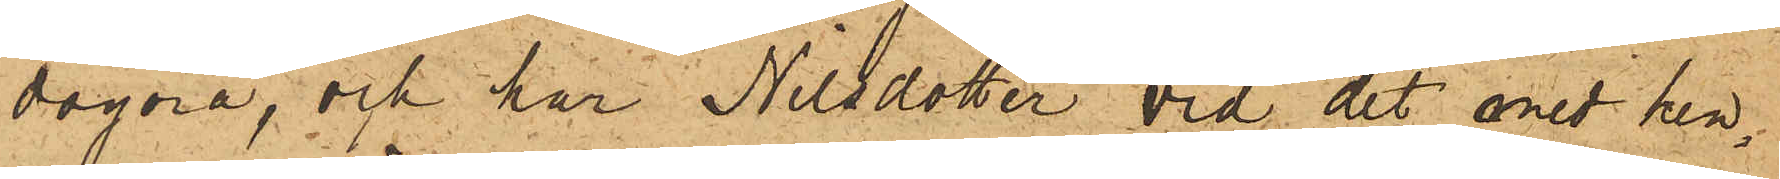dogöra, och har Nilsdotter vid det med hen¬
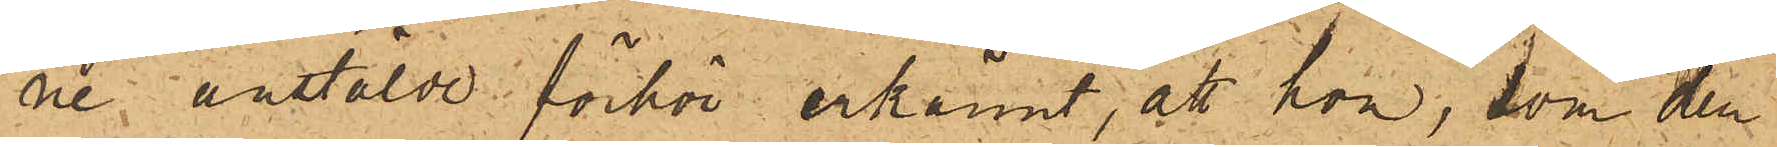ne anstälde förhör erkänt, att hon, som den
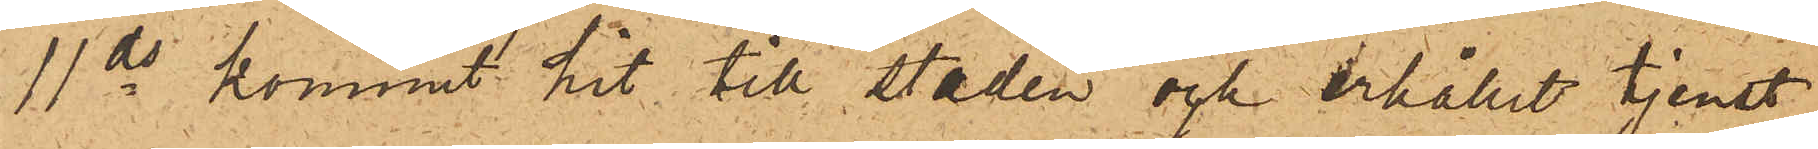11 ds kommit hit till staden och erhållit tjenst
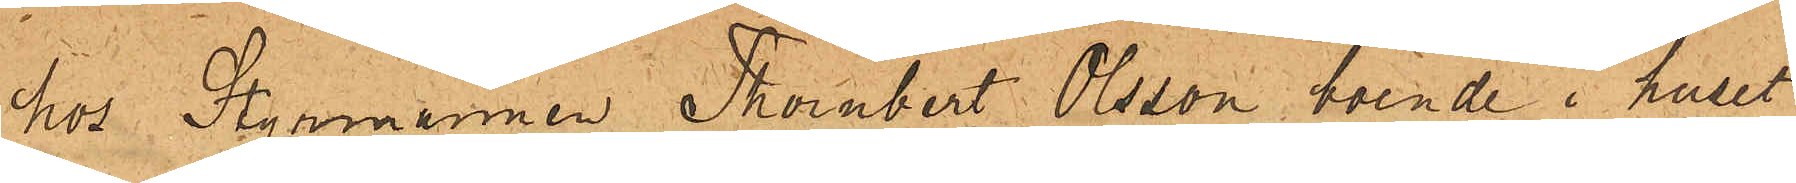hos Styrmannen Thornbert Olsson, boende i huset
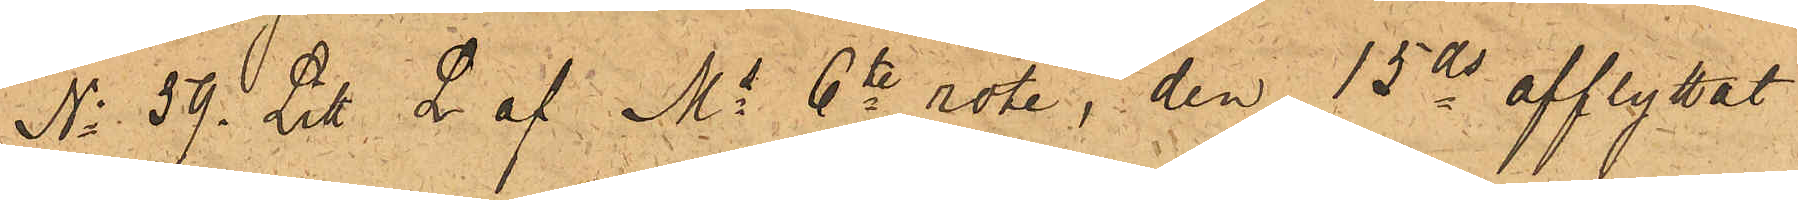No 59 Litt. L af Ms 6te rote, den 15ds afflyttat
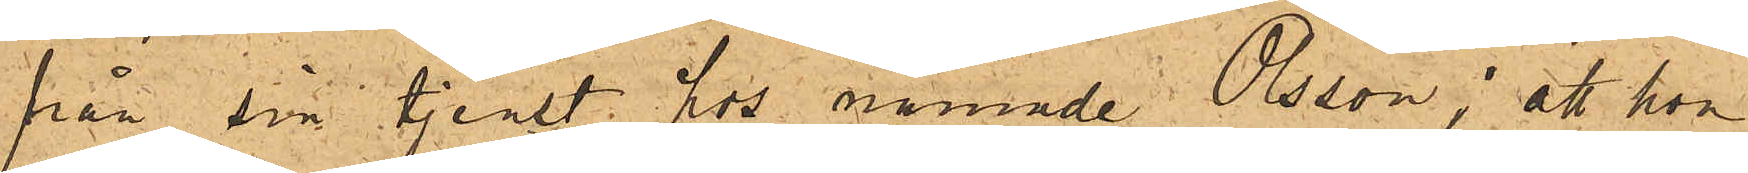från sin tjenst hos nämnde Olsson; att hon
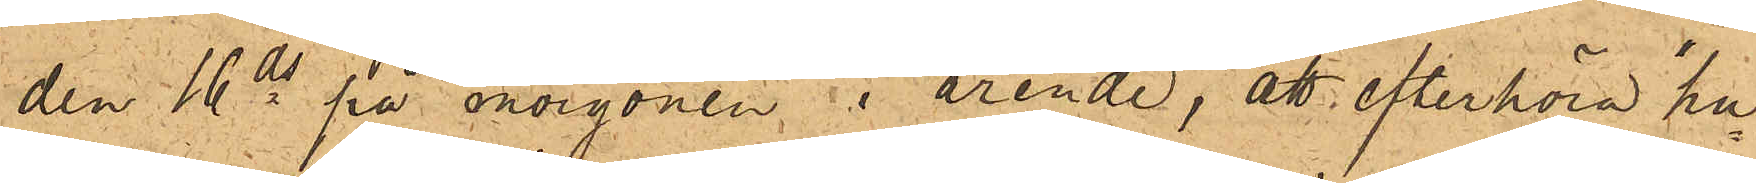den 16ds på morgonen i ärende, att efterhöra hu¬
